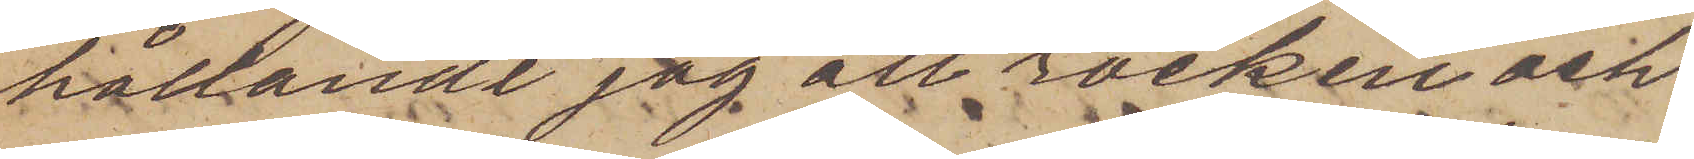hållande jag att rocken och
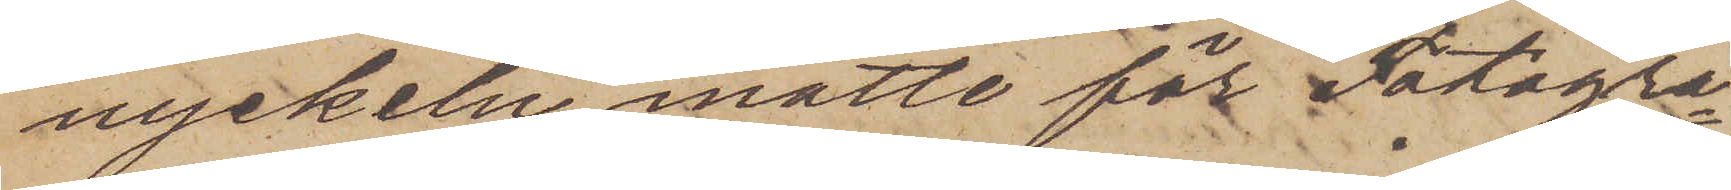nyckeln måtte för Fotogra¬
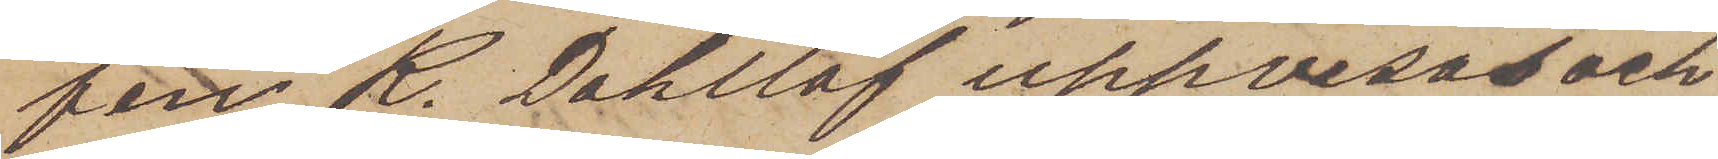fen R. Dahllöf uppvisas och
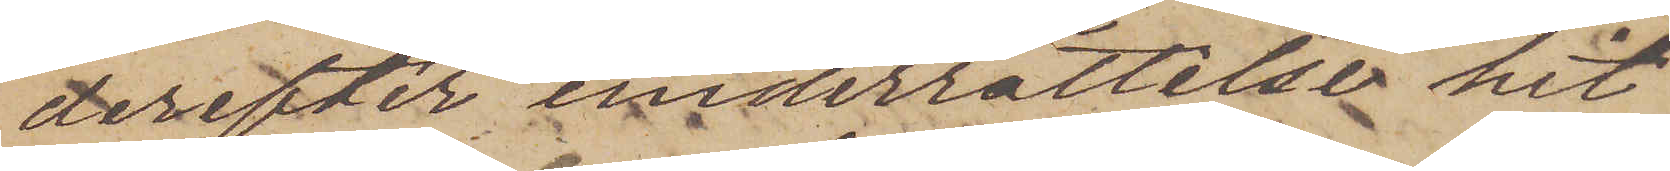derefter underrättelse hit
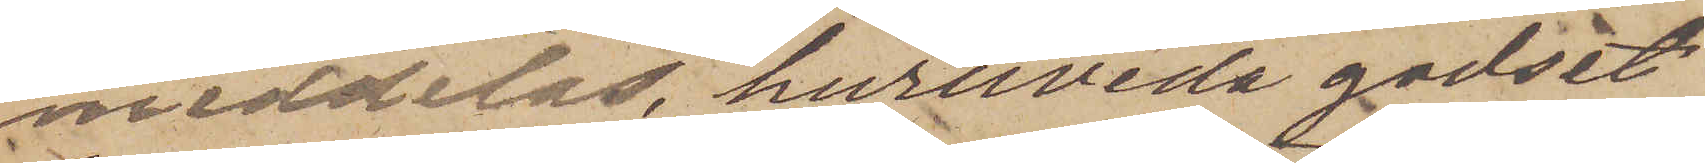meddelas, huruvida godset
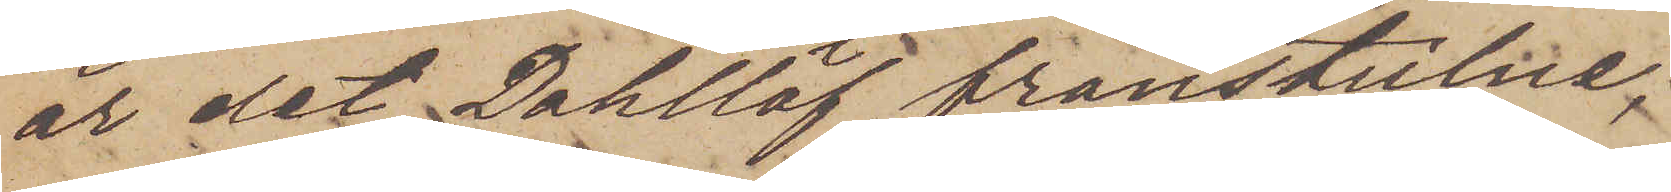är det Dahllöf frånstulne;
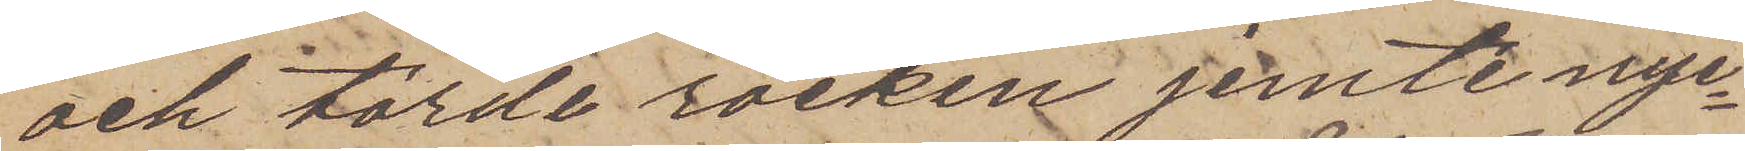och torde rocken jemte nyc¬
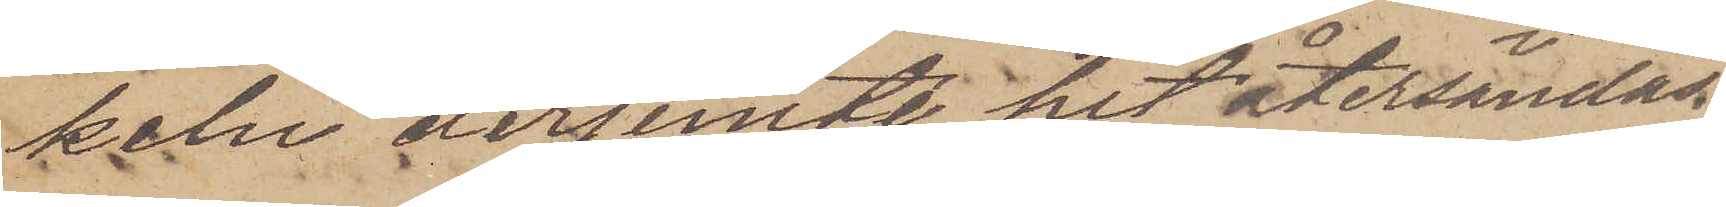keln derjemte hit återsändas.
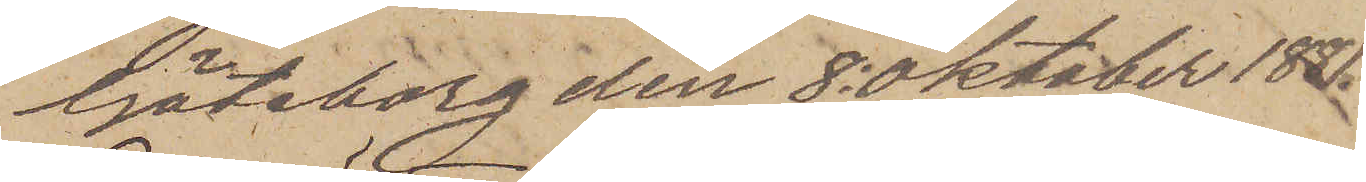Göteborg den 8 Oktober 1881.
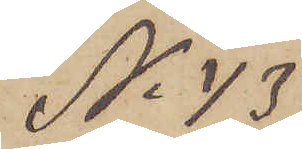No 43
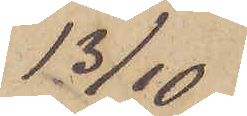13/10
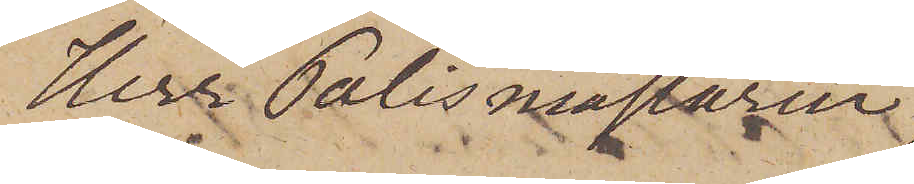Herr Polismästaren
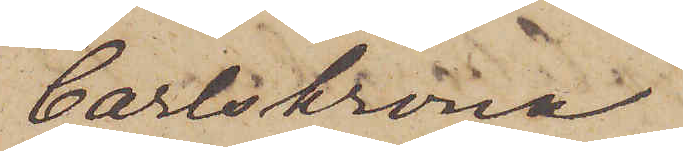Carlskrona
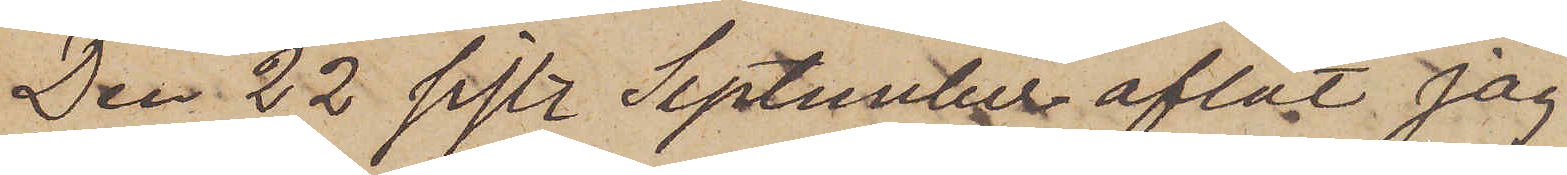Den 22 sistl September aflät jag
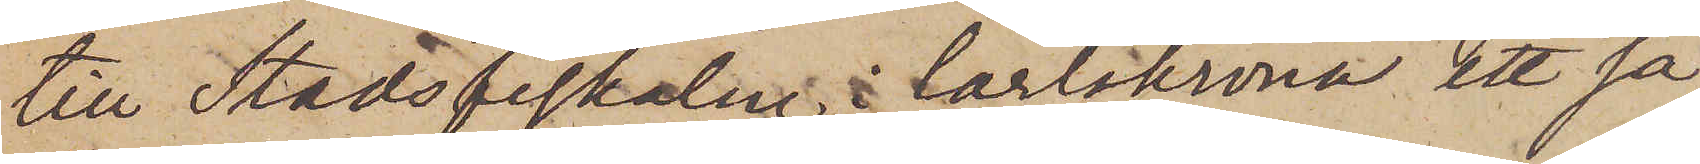till Stadsfiskalen i Carlskrona ett så
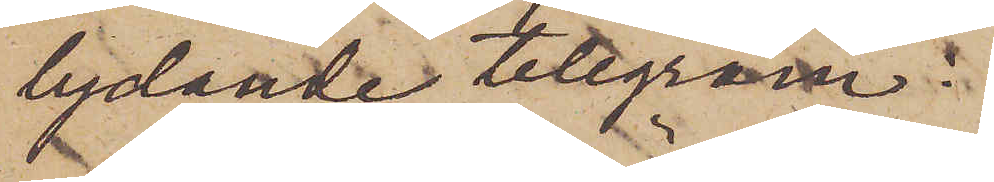lydande telegram:
